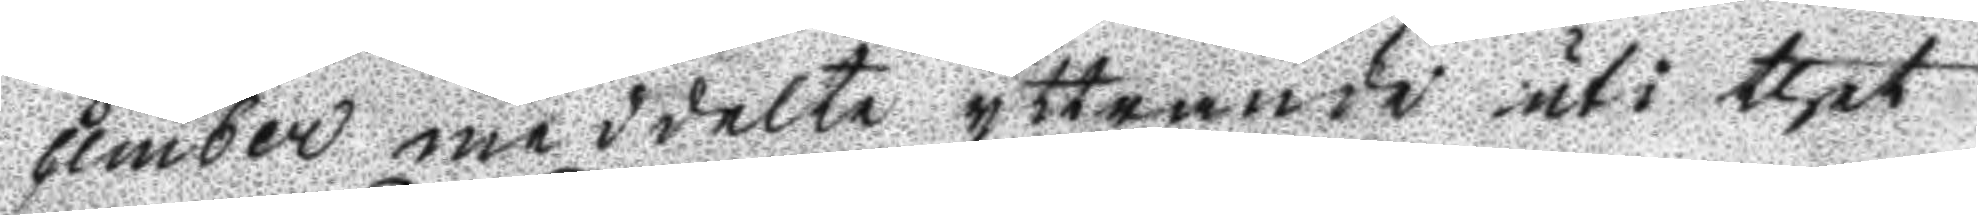cember meddelte yttrande uti thet
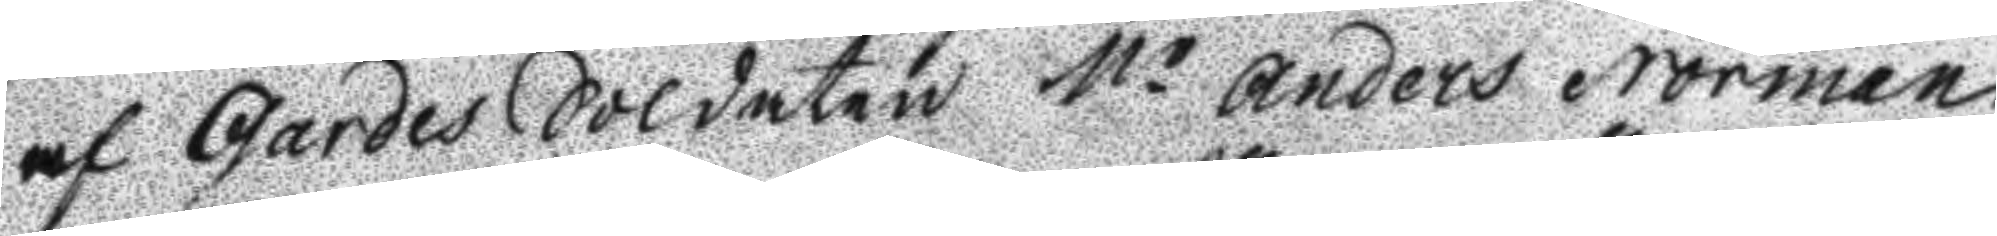af Gardes Soldaten Mr Anders Norman
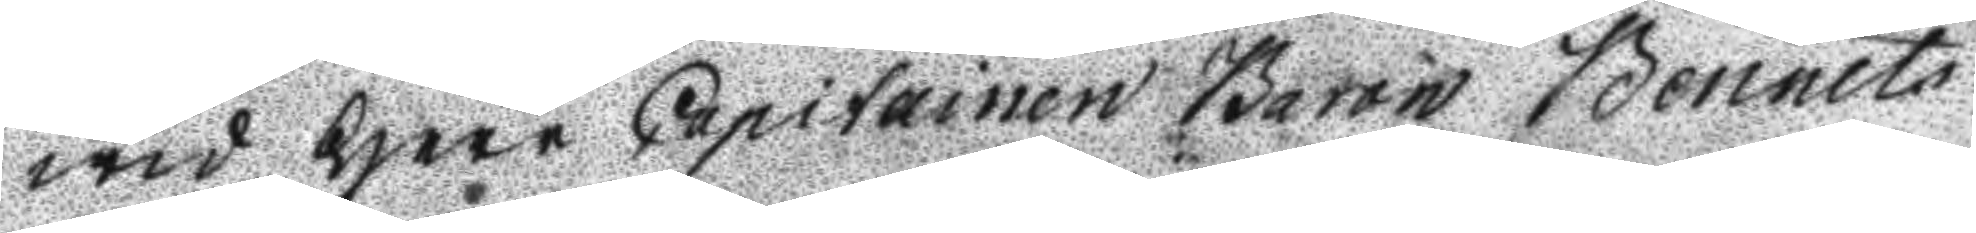wid Herr Capitainen Baron Bennets
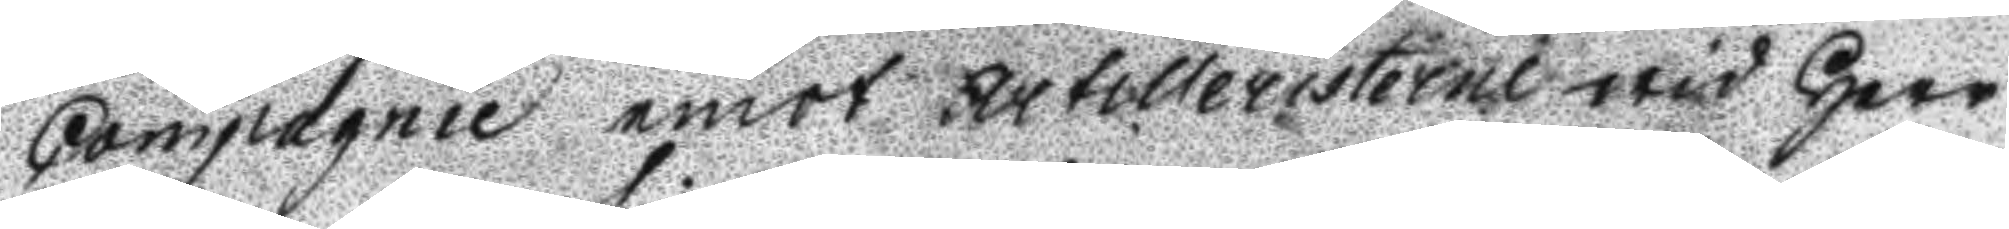Copmagnie emot Artilleristerne wid Herr
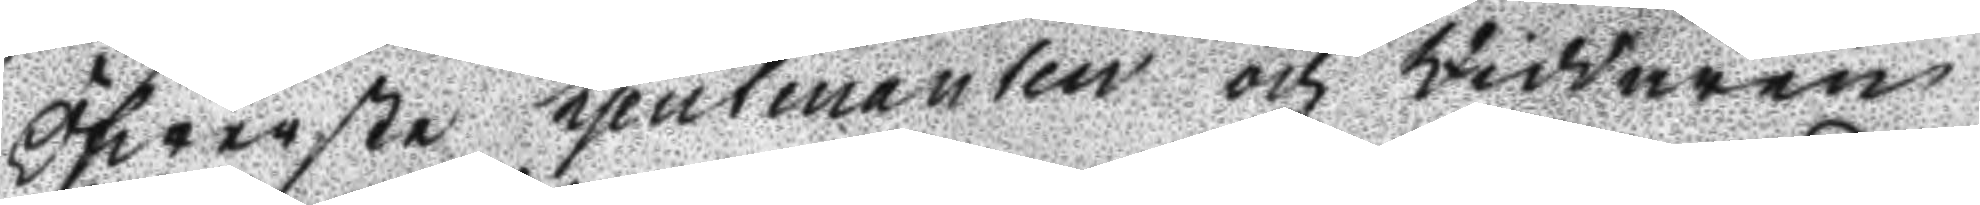Öfwerste Ljeutenanten och Riddaren
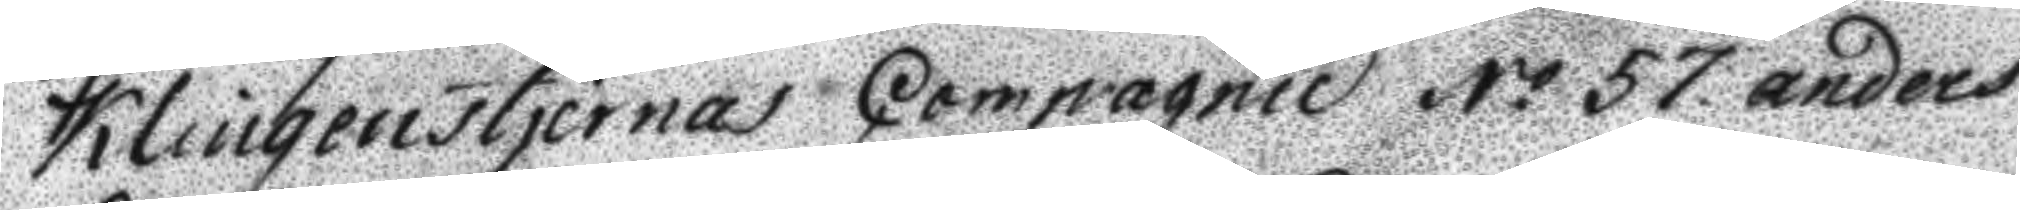Klingenstjernas Compagnie N.o 57. Anders
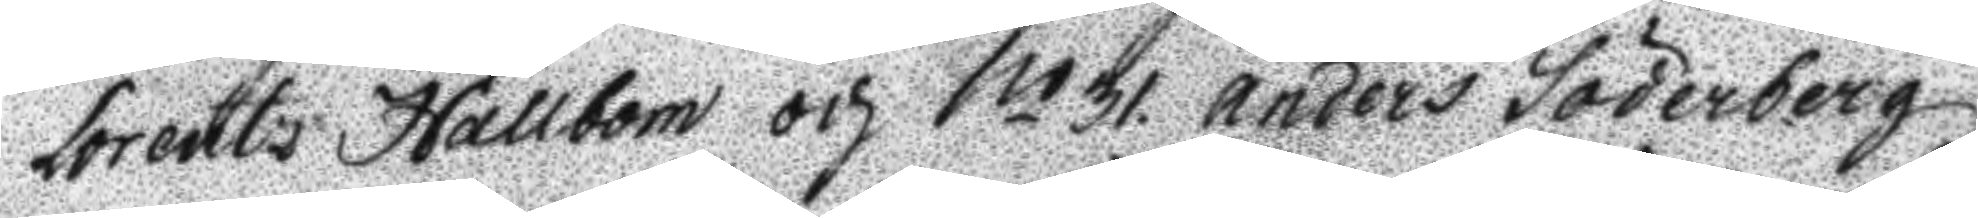Lorents Hallbom och No 31. Anders Söderberg
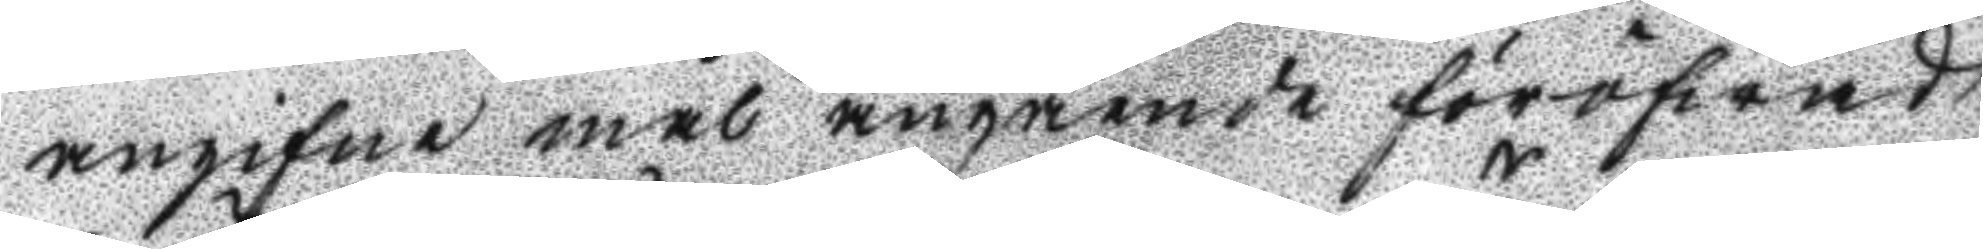angifne mål angående föröfwad
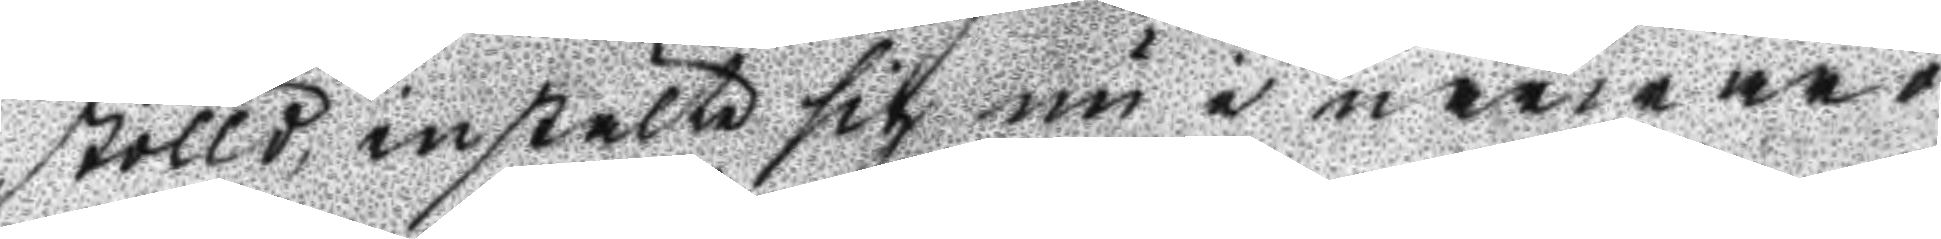stölld, instälte sig nu i närwaro
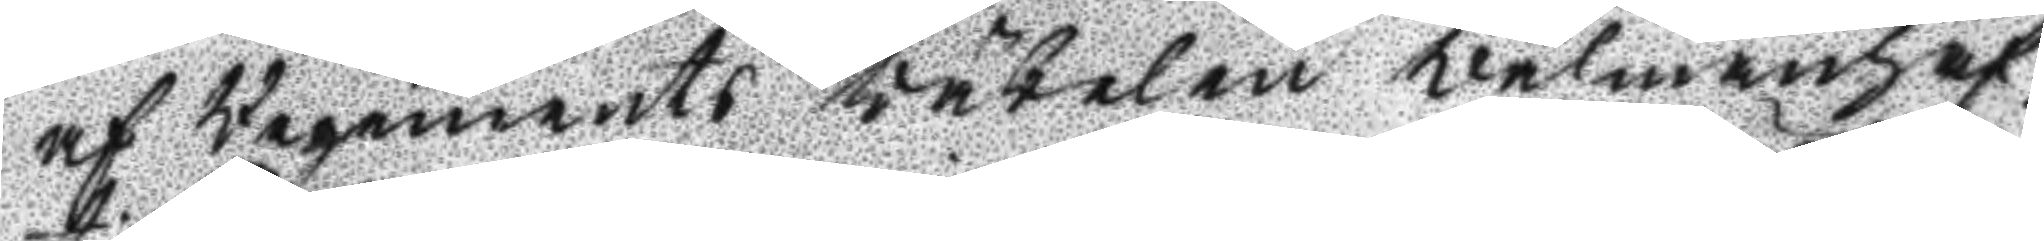af Regements väbelen Välmanhaf¬
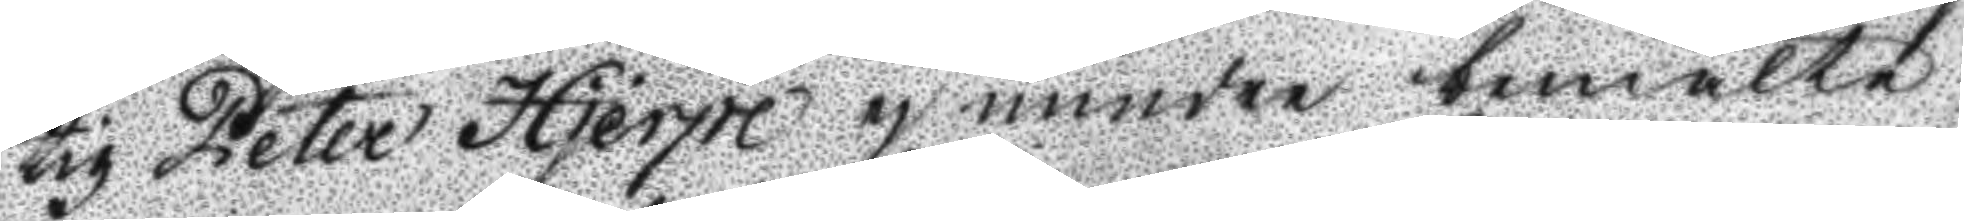tig Peter Hjerpe ej mindre nemälte
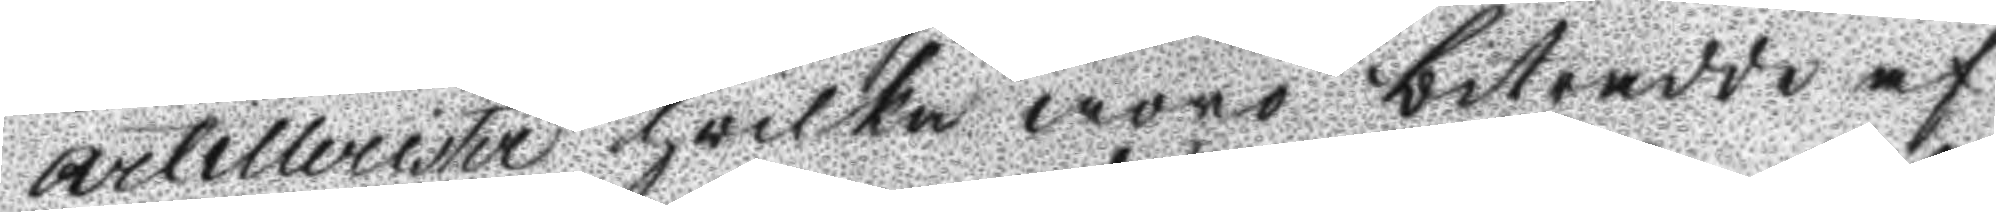Artillerister hvilka woro bitradde af
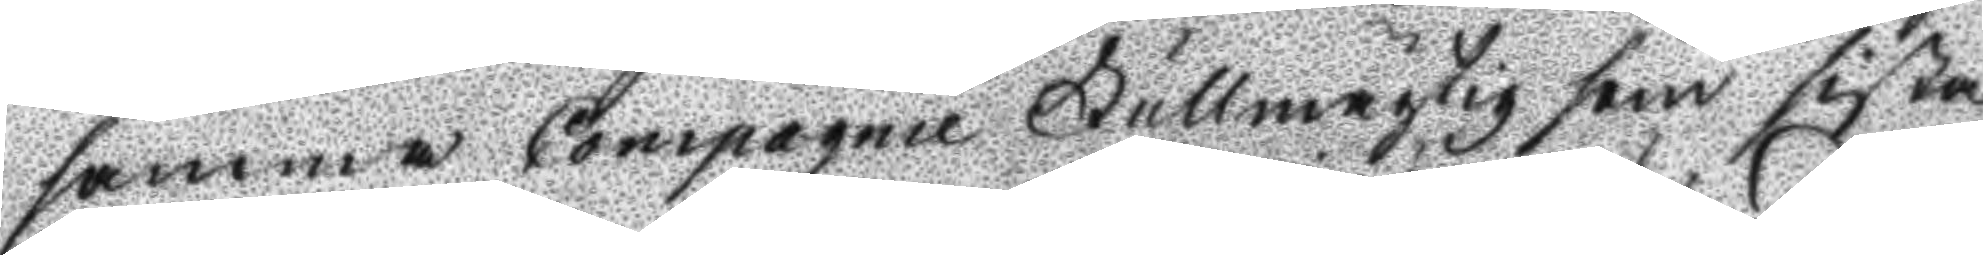samma Compagnie Fullmägtig som sista
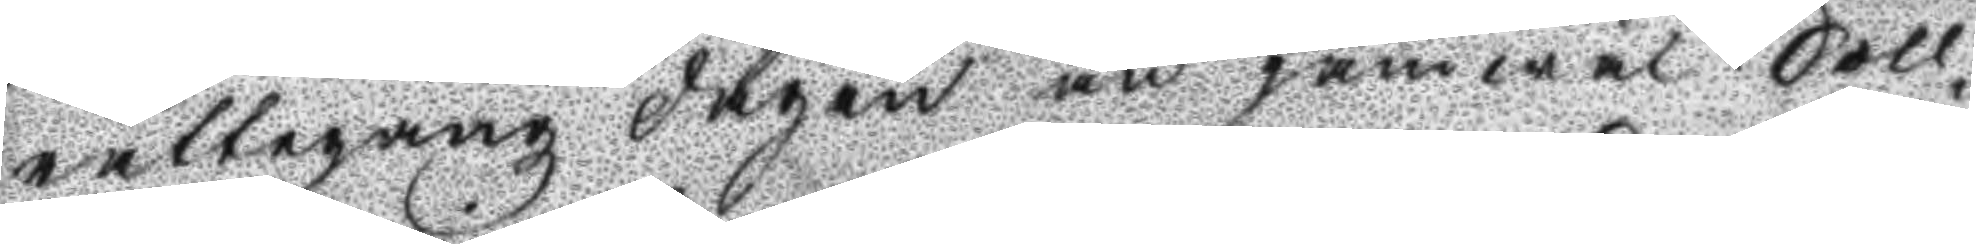rättegångz dagen än jämwäl Soll¬
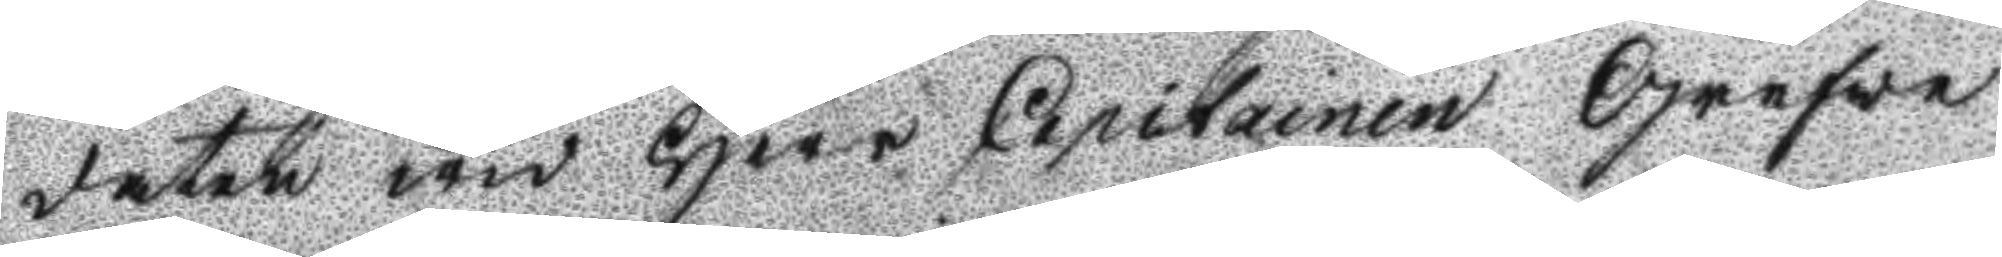daten wid Herr Capitainen Grefve
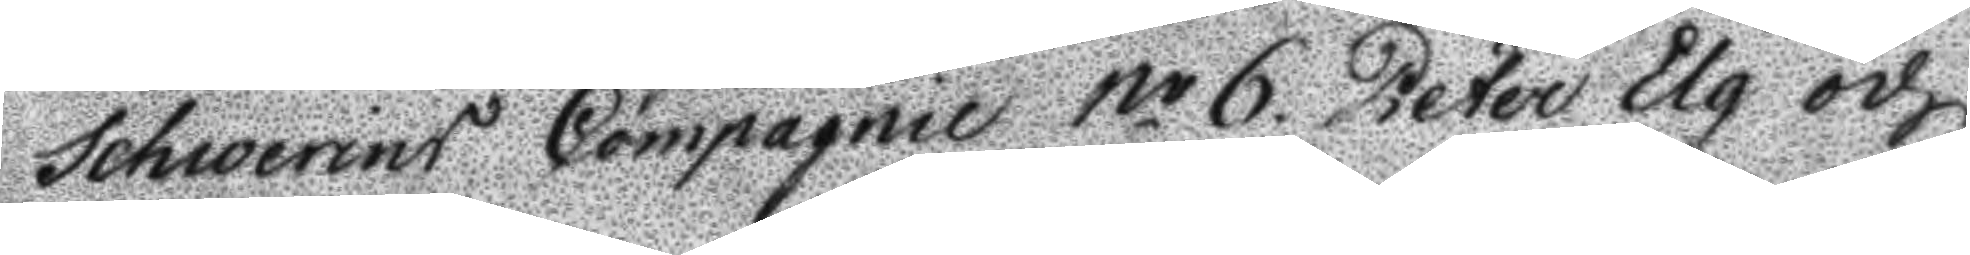Schwerins Compagnie No 6. Peter Elg och
